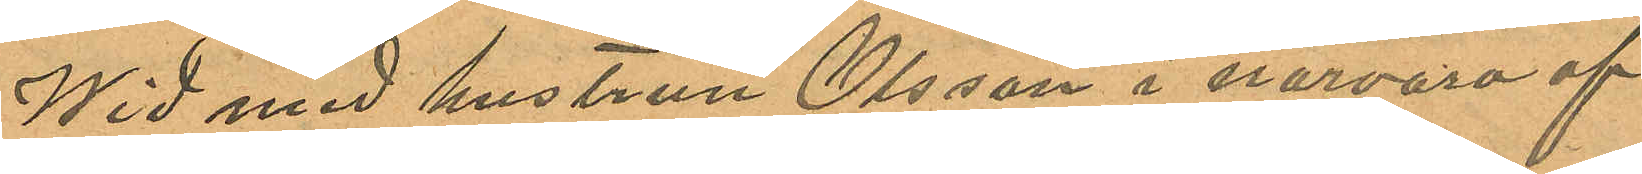Wid med hustrun Olsson i närvaro af
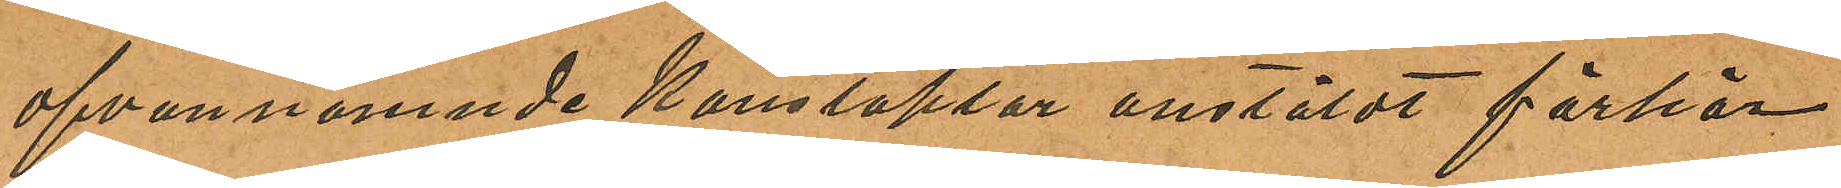ofvannämnde Konstaplar anstäldt förhör
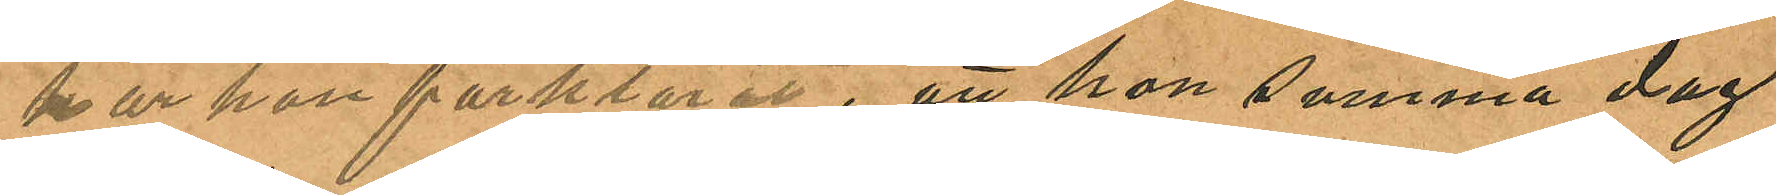har hon förklarat, att hon samma dag
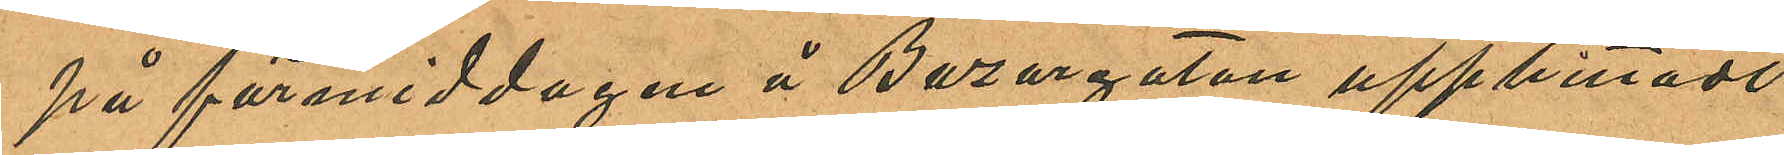på förmiddagen å Bazargatan upphittadt
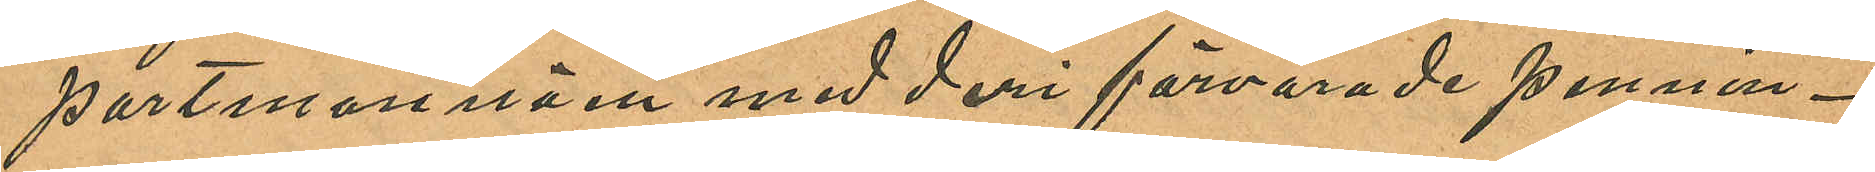portmonnäen med deri förvarade pennin¬
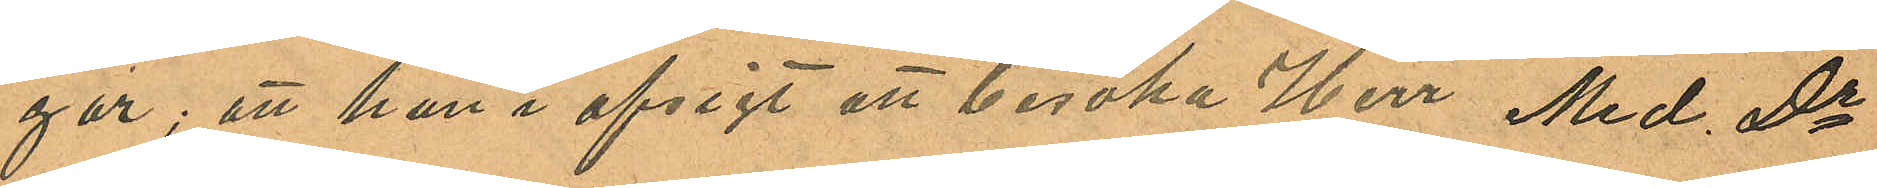gar; att hon i afsigt att besöka Herr Med Dr
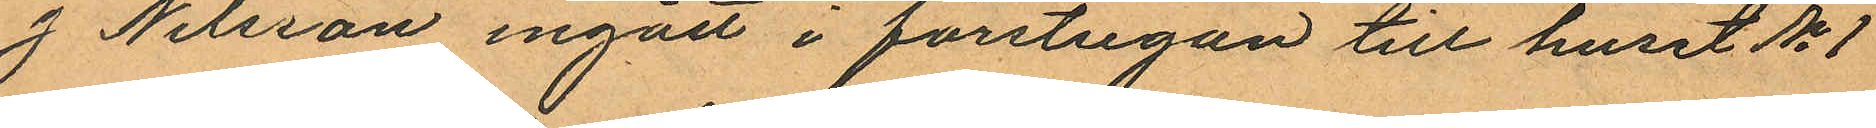J Nilsson ingått i förstugan till huset No 1
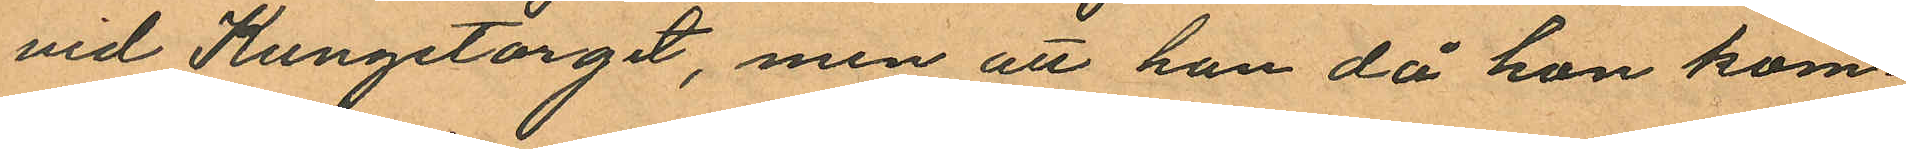vid Kungstorget, men att hon då hon kom¬
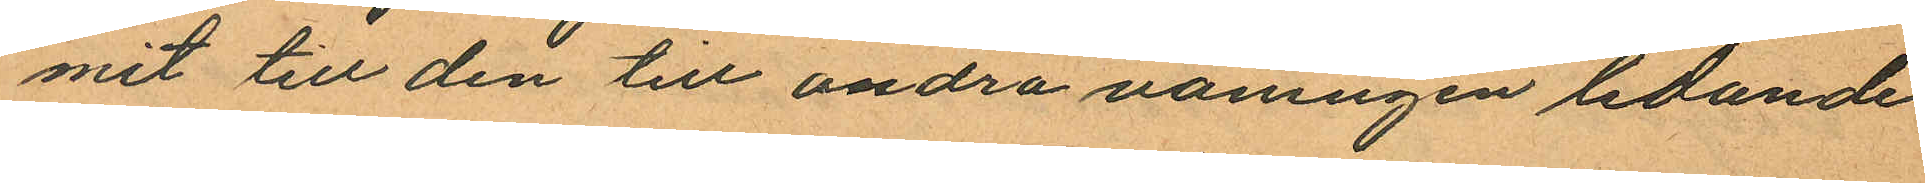mit till den till andra våningen ledande
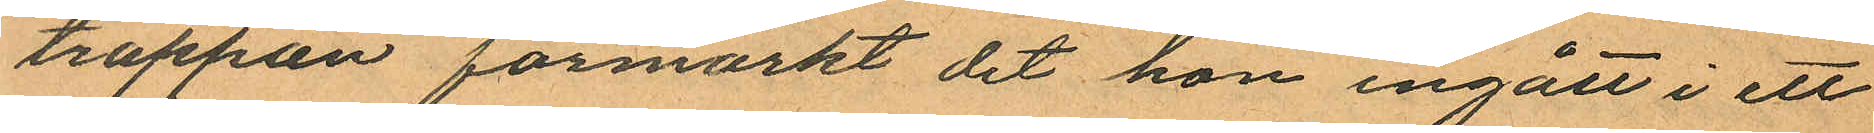trappan förmärkt det hon ingått i ett
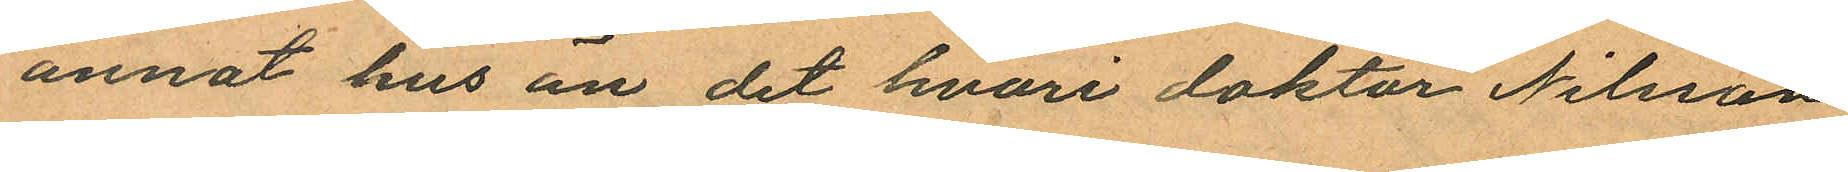annat hus än det hvari doktor Nilsson
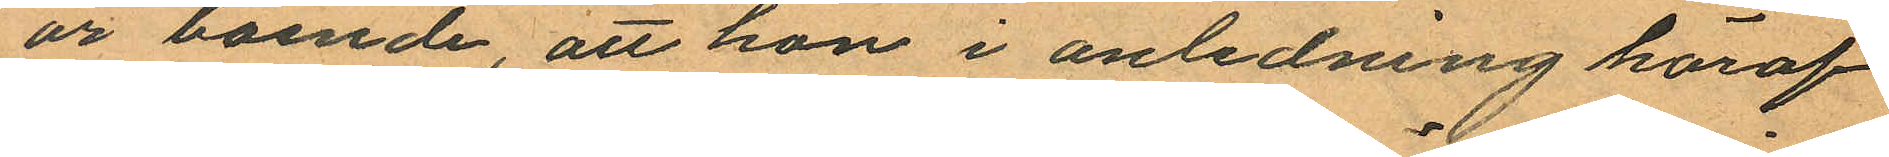är boende, att hon i anledning häraf
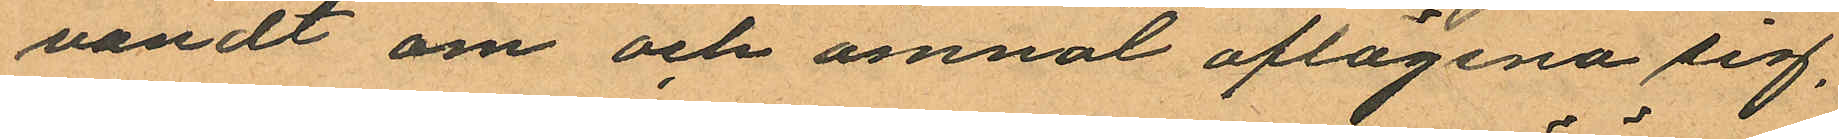vändt om och ämnat aflägsna sig,
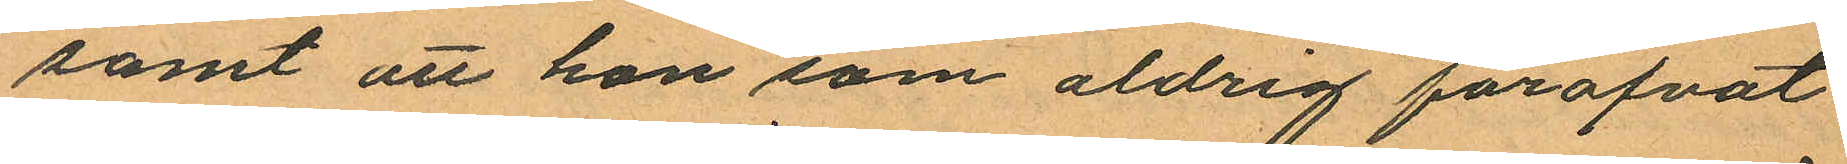samt att hon som aldrig föröfvat
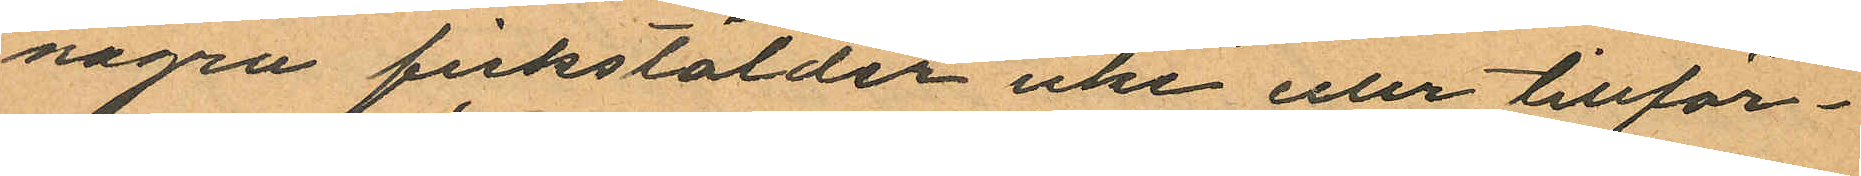några fickstölder icke eller tillför¬
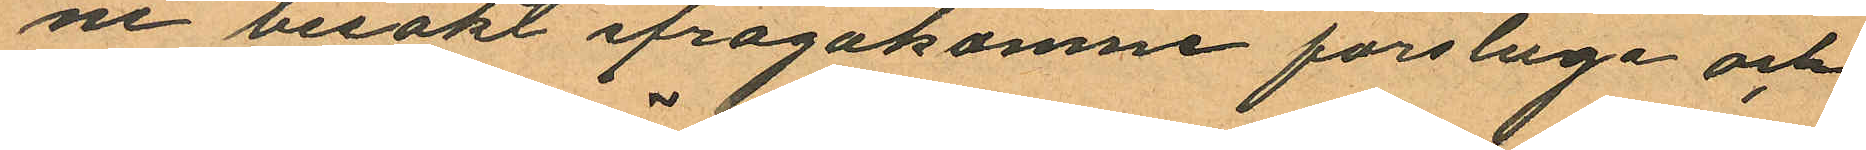ne besökt ifrågakomne förstuga och
